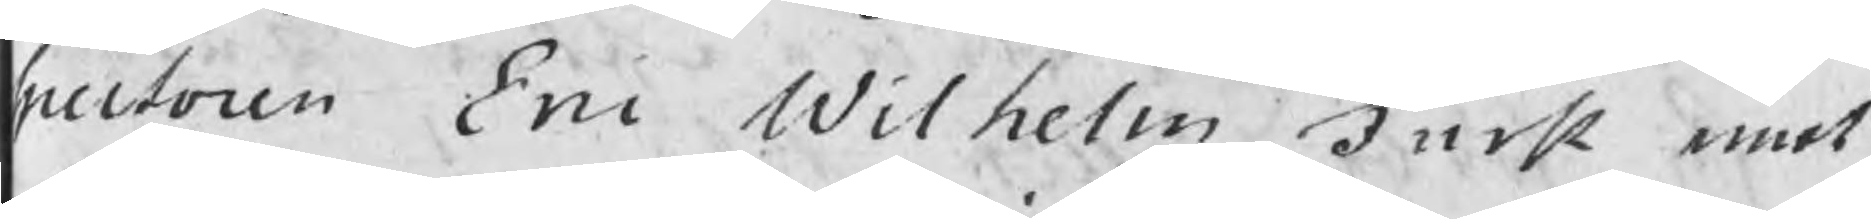spectoren Eric Wilhelm Furst emot
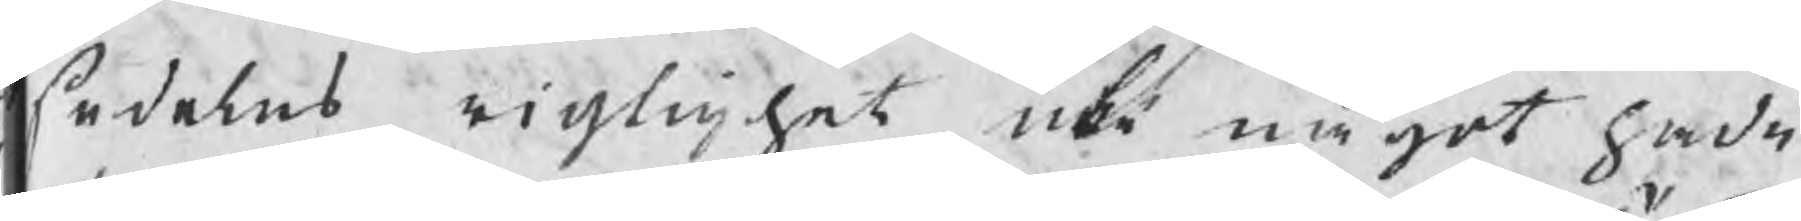sedelns rigtighet icke något hade
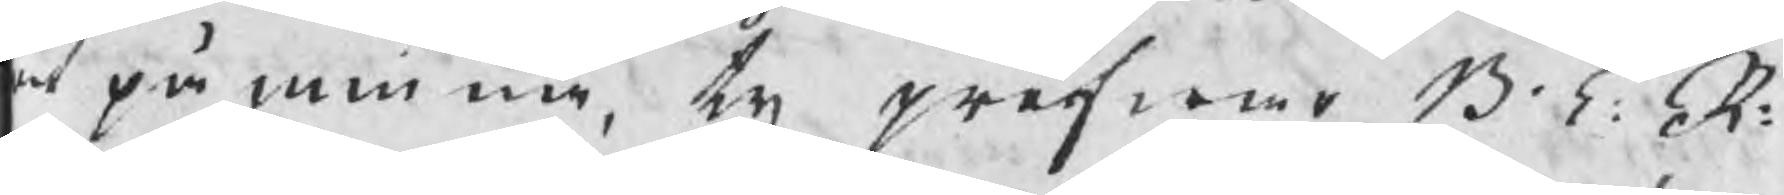at påminna, ty pröfwar B T: R:
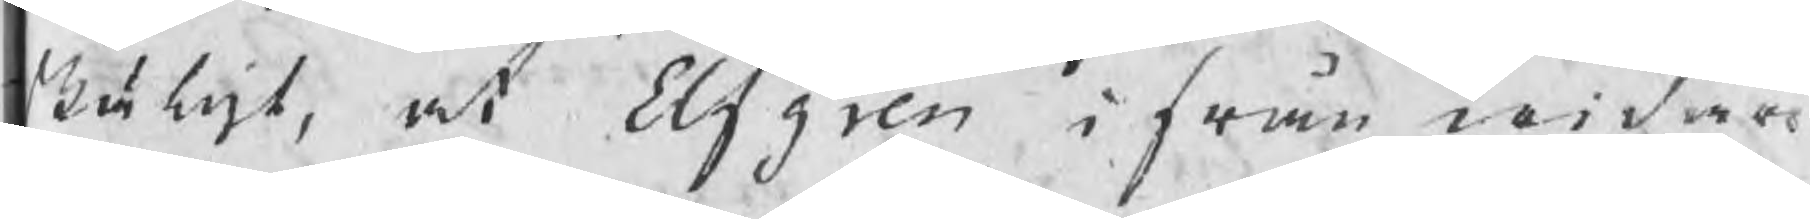skäligt, at Elfgren ifrån widare
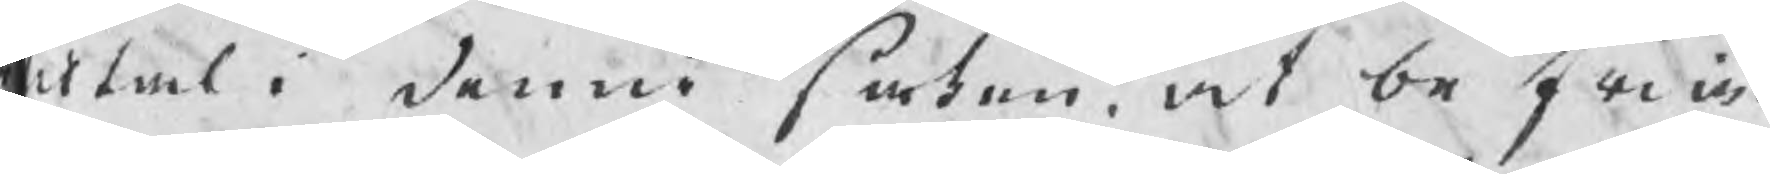tiltal i denne saken, at befria.
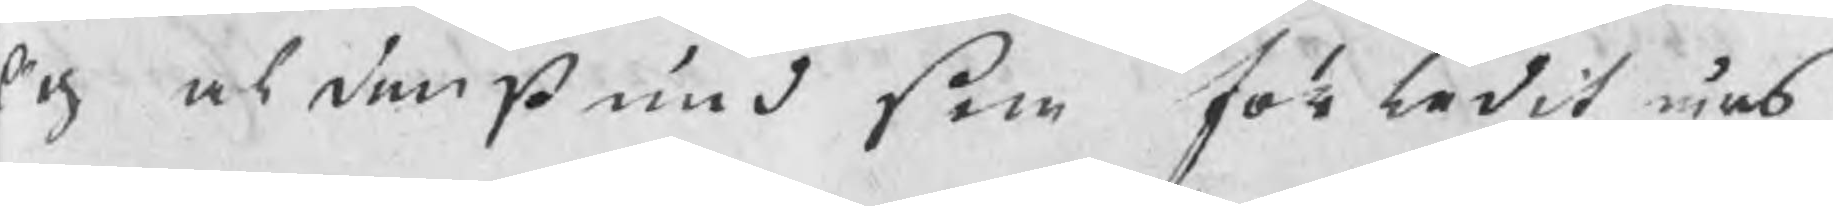Och aldenstund som förledit års
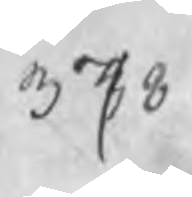378
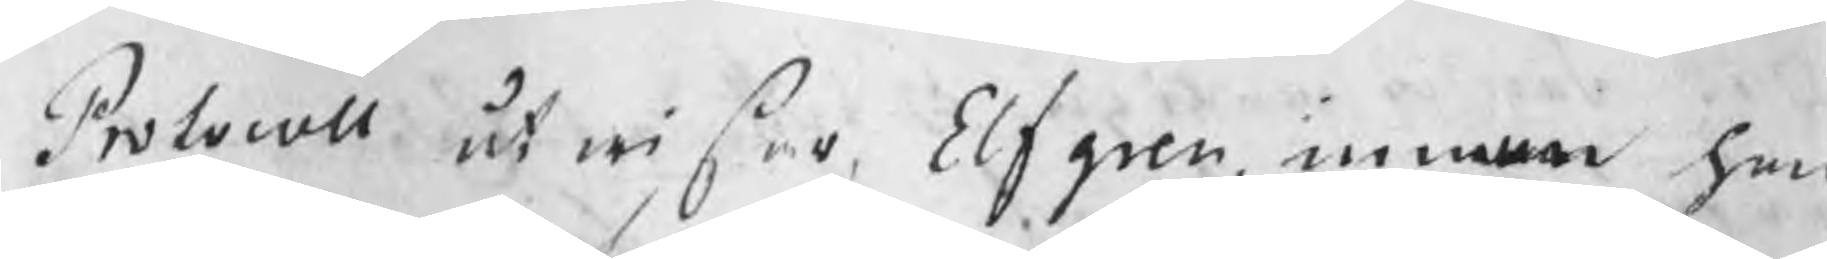Protocoll utwisar Elfgren, innan han
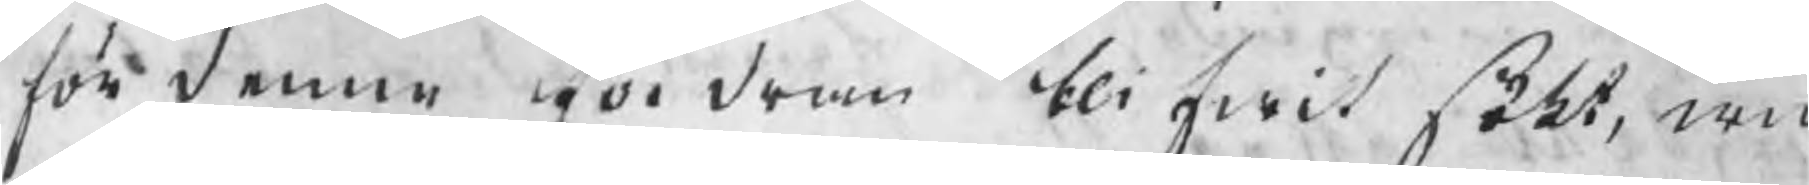för denne fordran blifwit sökt, wid
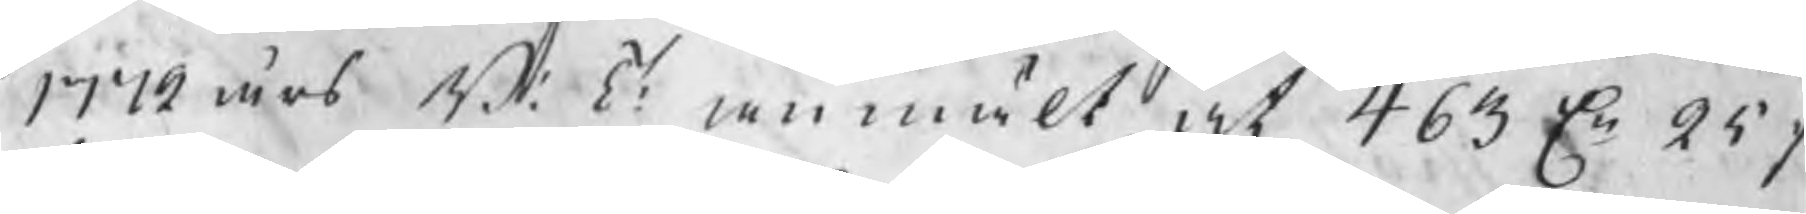1772 års B: T: anmält, at 463 Dr 25
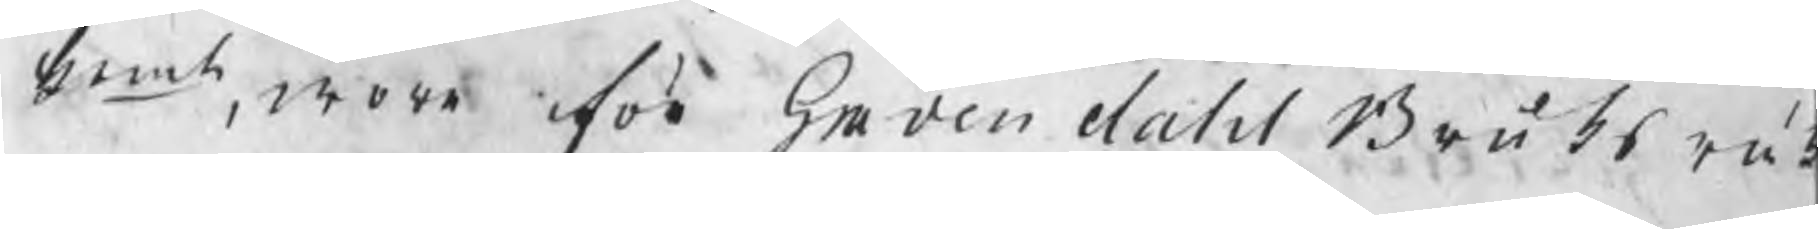kmt, wore för Gravendahl Bruks räk
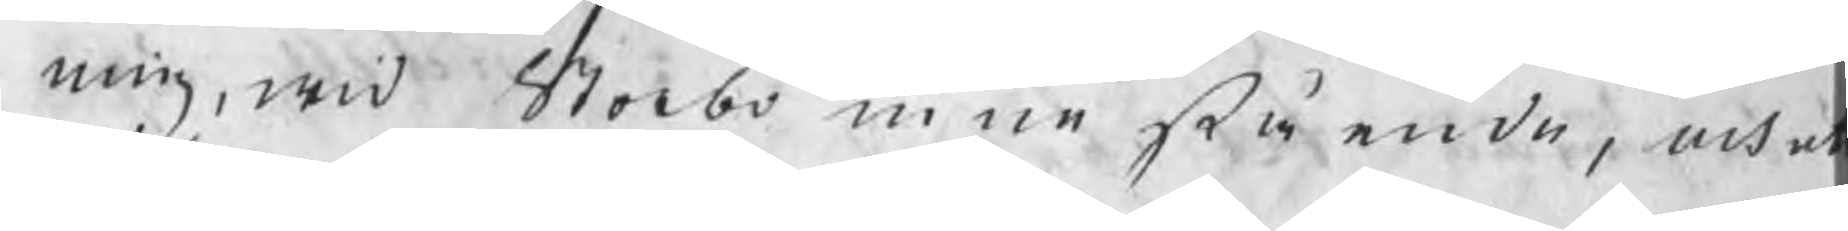ning, wid Storbo inne stående, och at
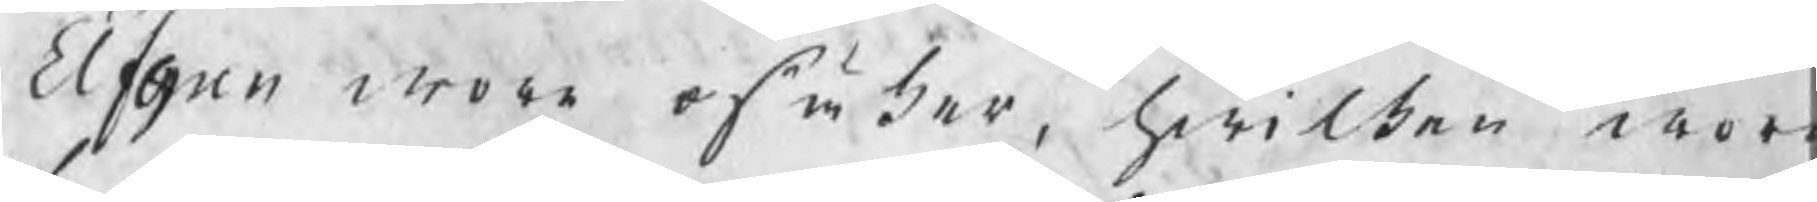Elfgren wore osäker, hwilken wore
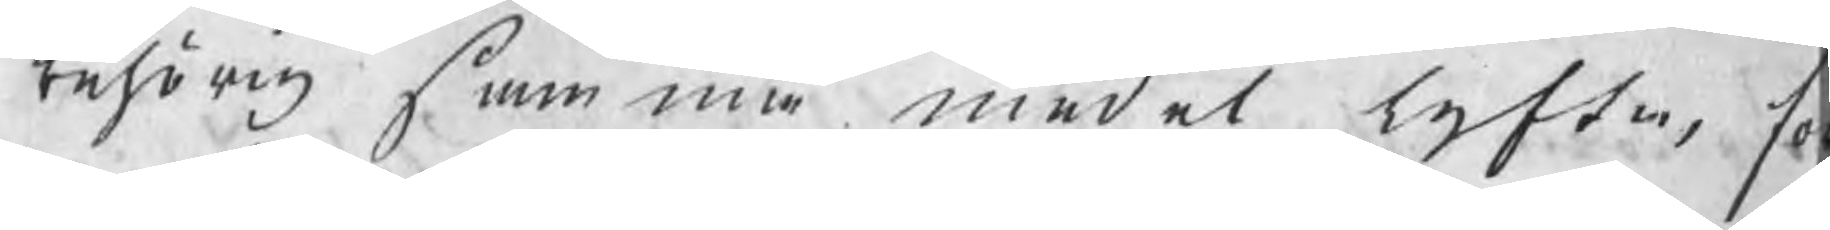behörig samma medel lyfta, fö
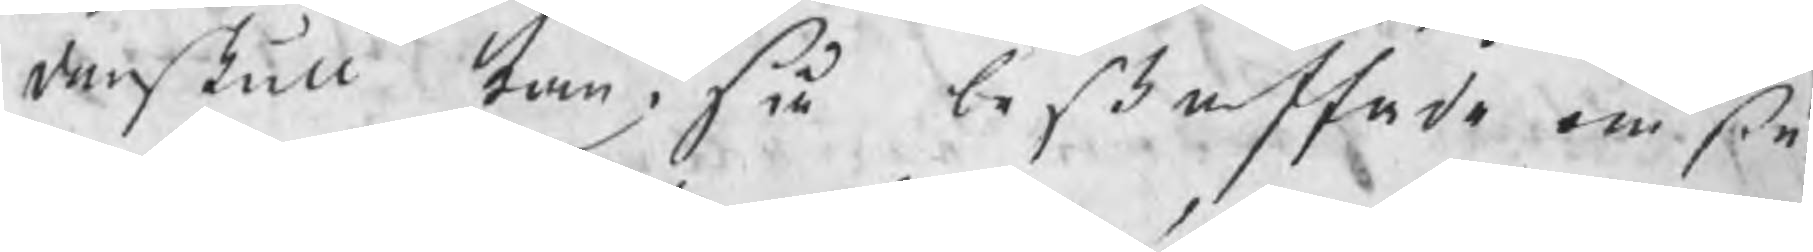denskull kan i så beskaffade omstä
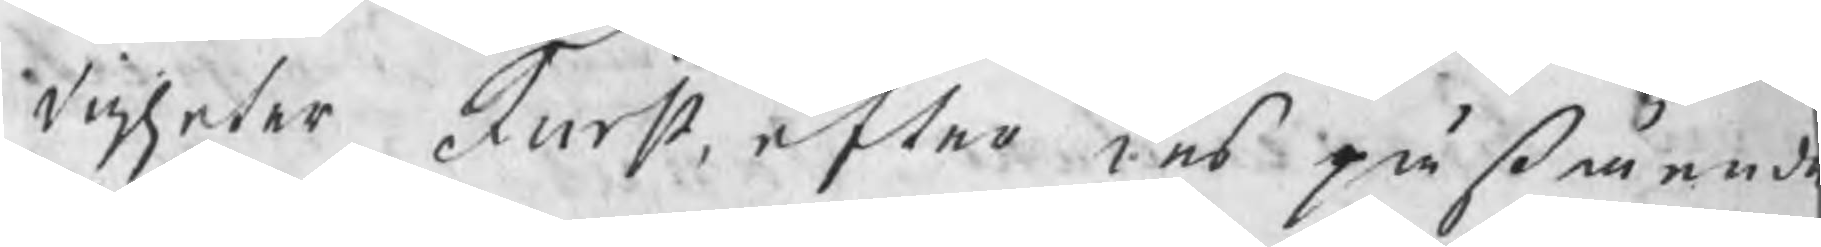digheter Furst, efter des påståend
